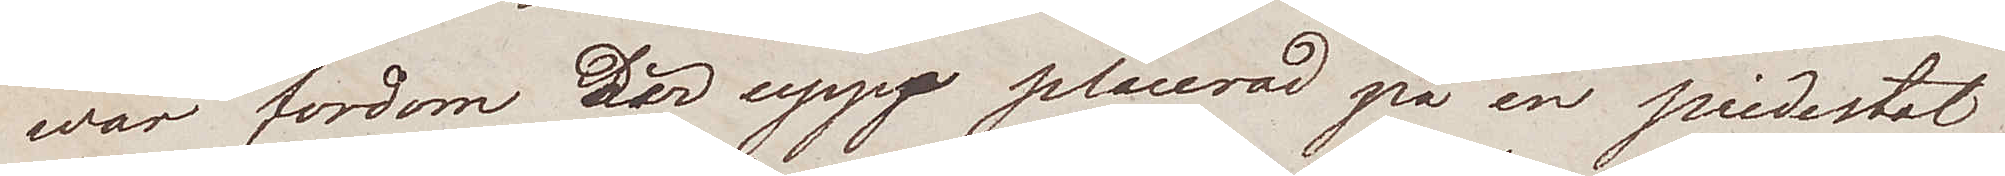war fordom där uppp placerad på en piedestal
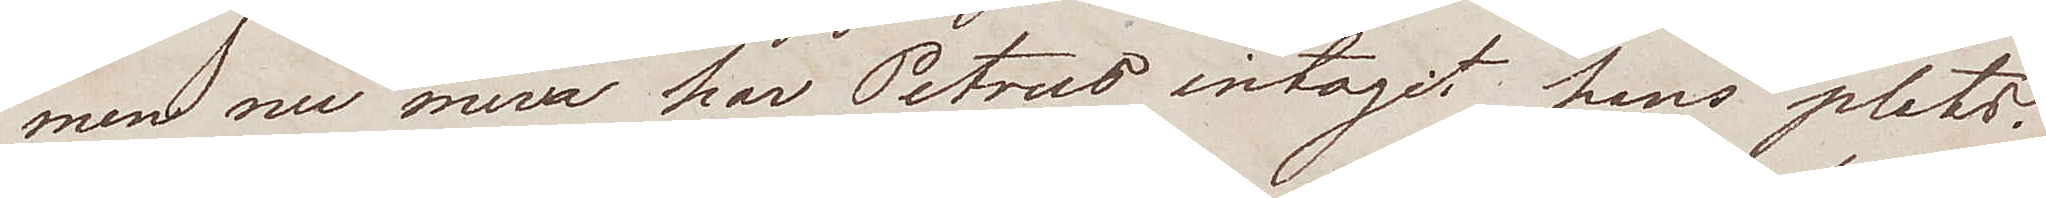men nu mera har Petrus intagit hans plats
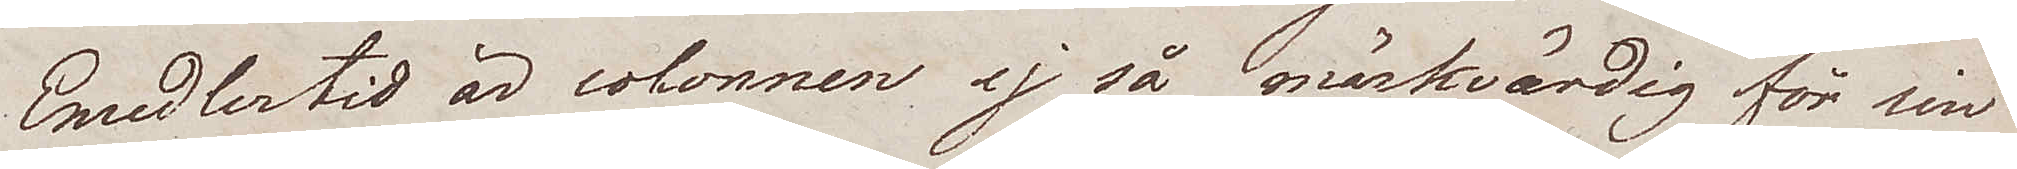Emedlertid är colonnen ej så märkvärdig för sin
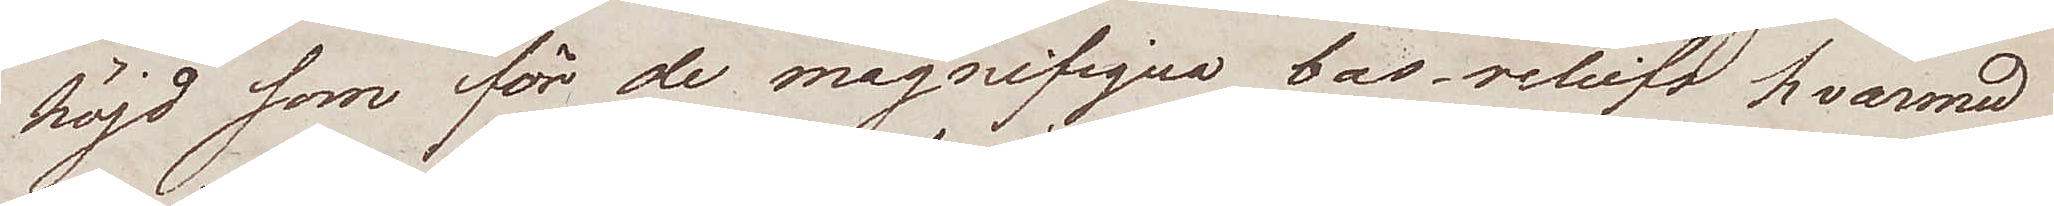höjd som för de magnifiqua bas-reliefs hvarmed
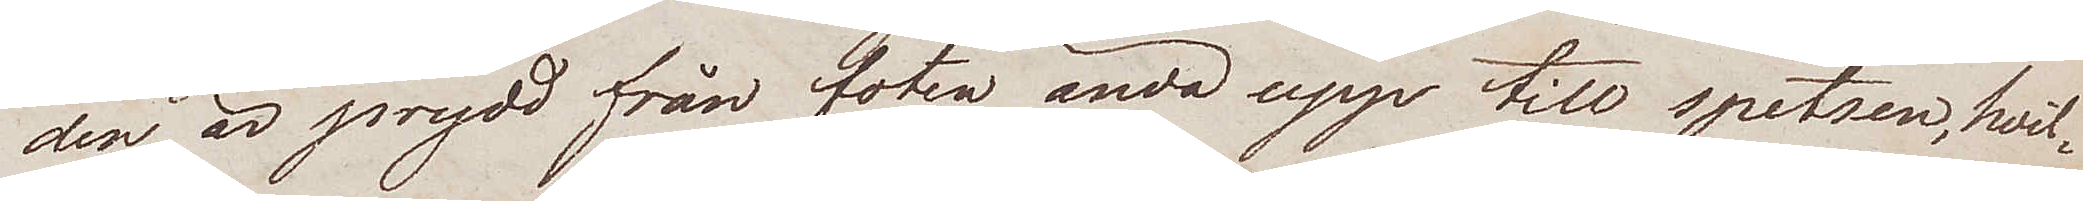den är prydd från foten ända upp till spetsen, hvil¬
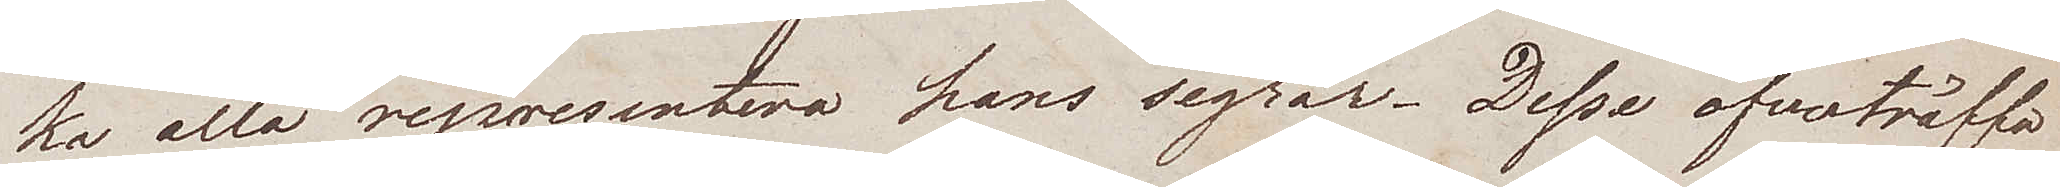ka alla representera hans segrar. Desse öfverträffa
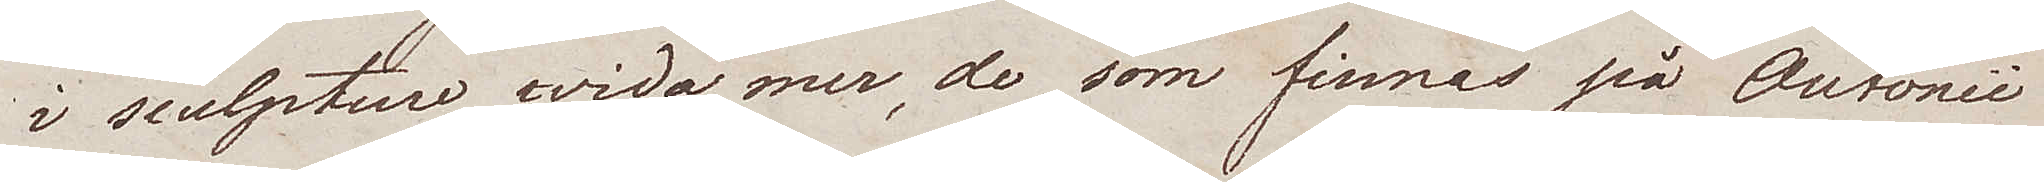i sculpture wida mer, de som finnas på Antonii
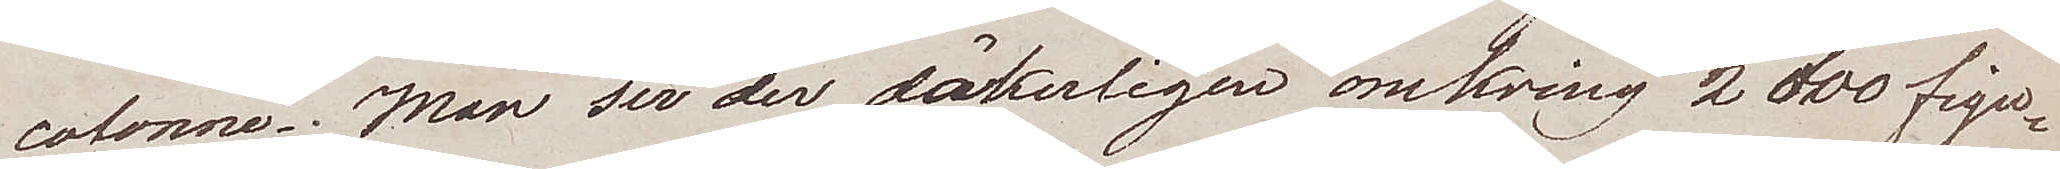colonne. Man ser der säkerligen omkring 2 000 figur¬
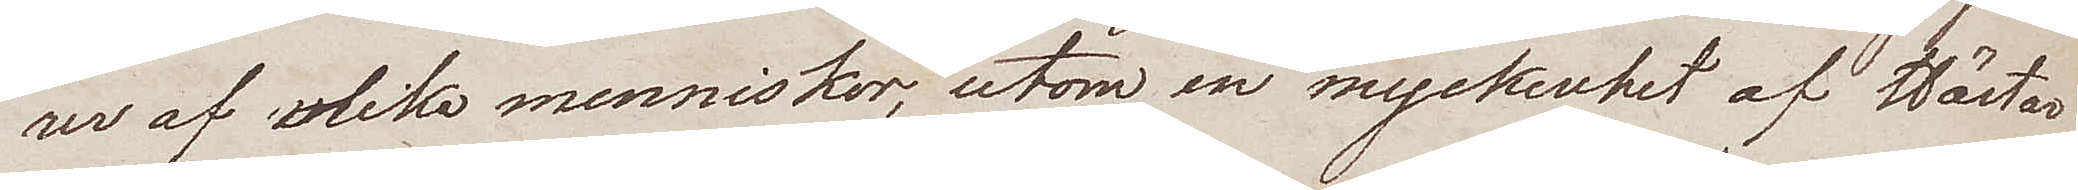rer af olika menniskor, utom en myckenhet af Hästar
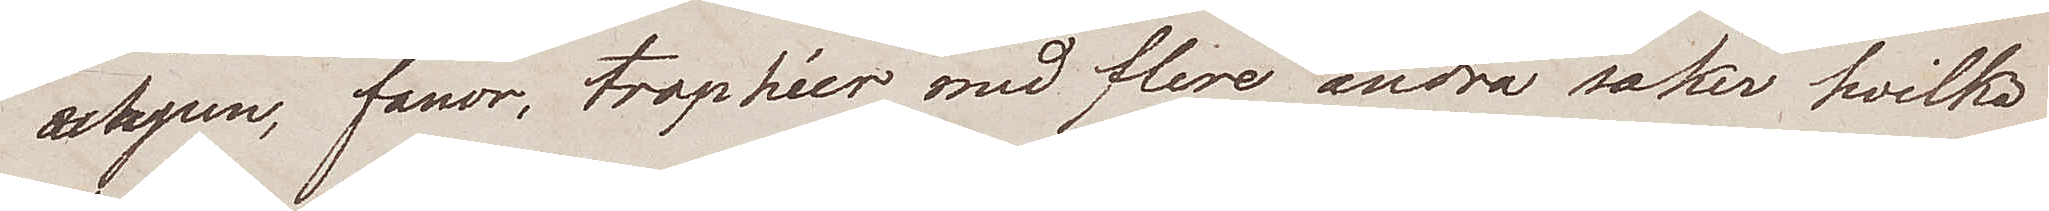wapen, fanor, trophéer med flere andra saker hvilka
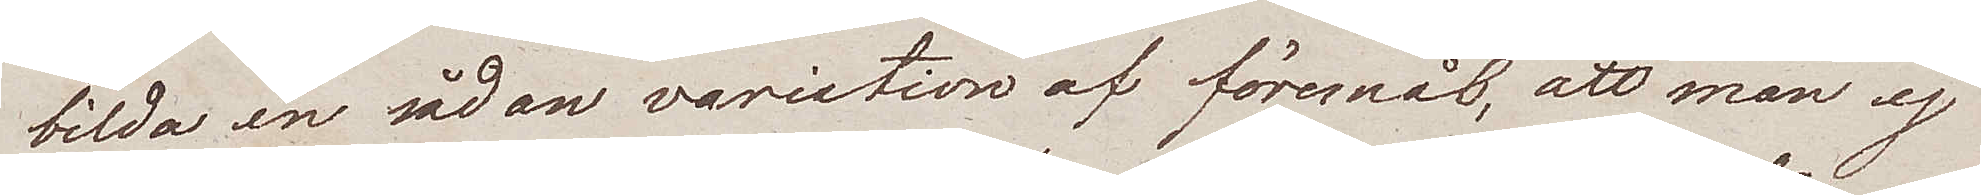bilda en sådan variation af föremål, att man ej
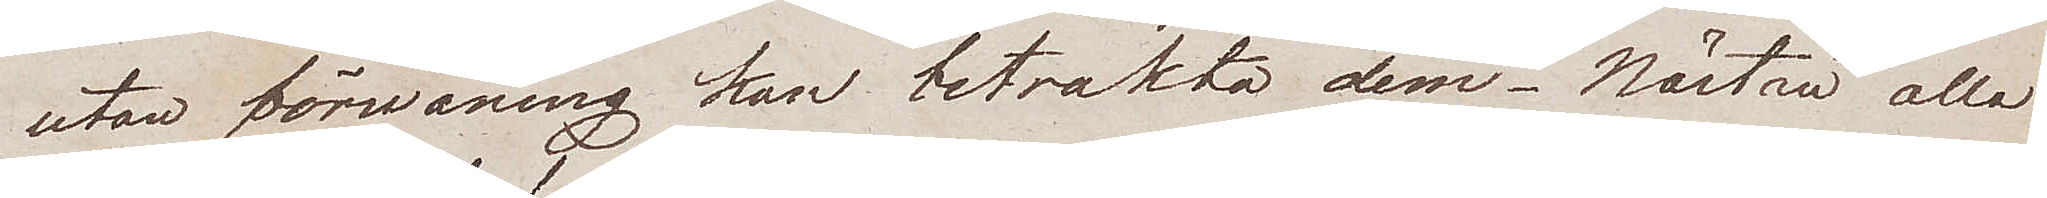utan förwåning kan betrakta dem. Nästan alla
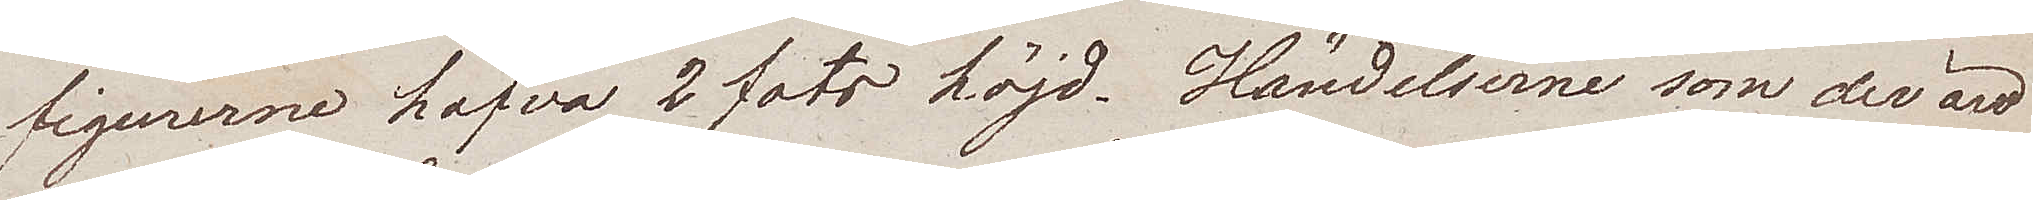figurerna hafva 2 fots höjd. Händelserne som der äro
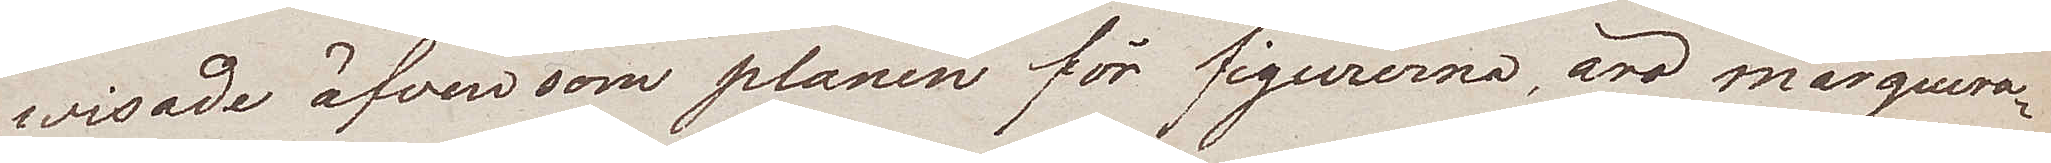wisade äfven som planen för figurerna äro marquera¬
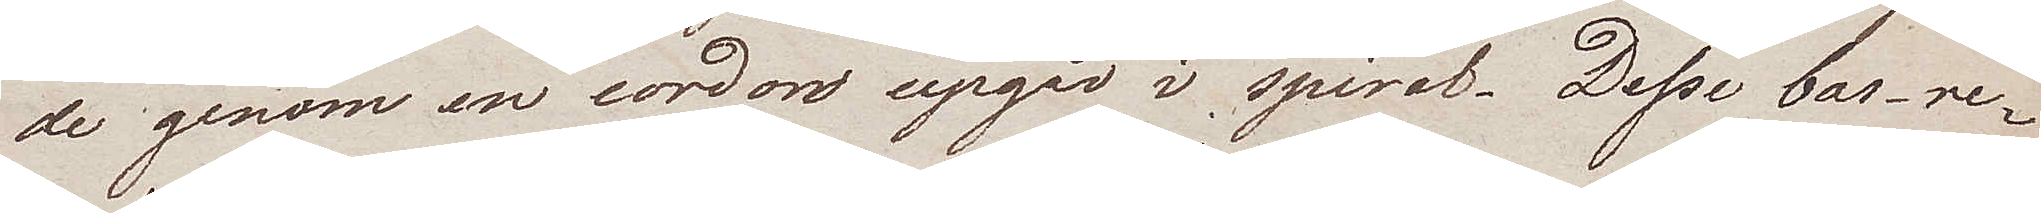de genom en cordon upgår i spiral. Desse bas-re¬
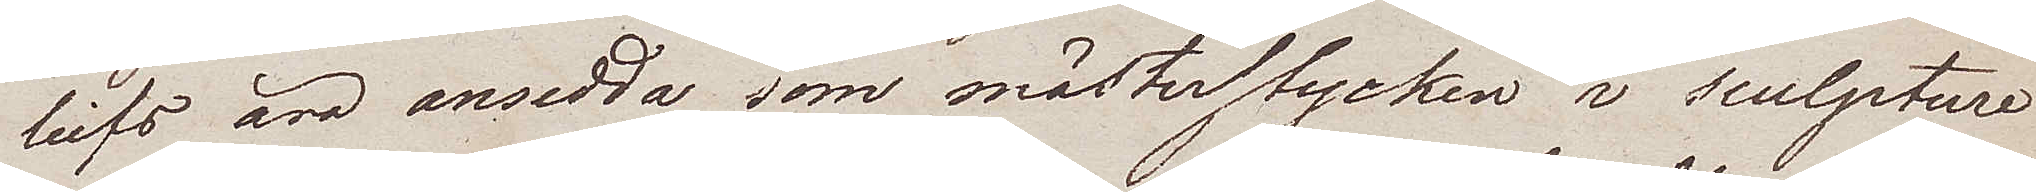liefs äro ansedda som mästerstycken i sculpture
